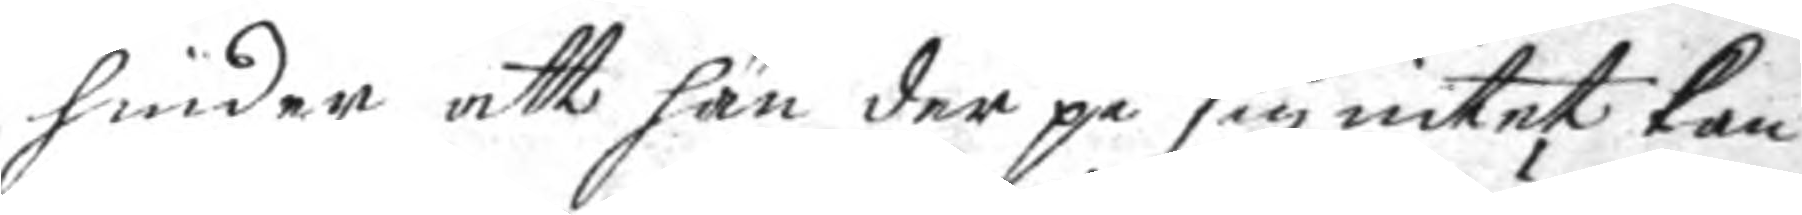hinder att han der på sig intet kan
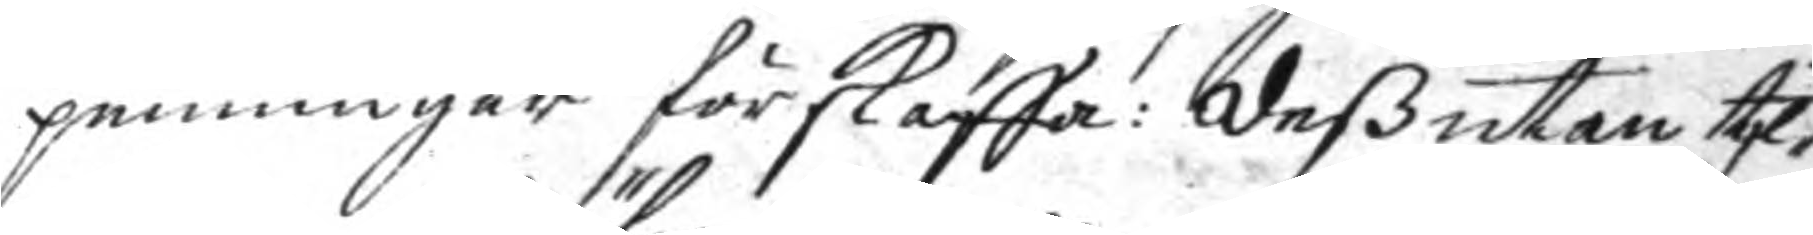penningar förskaffa: deßutan til¬
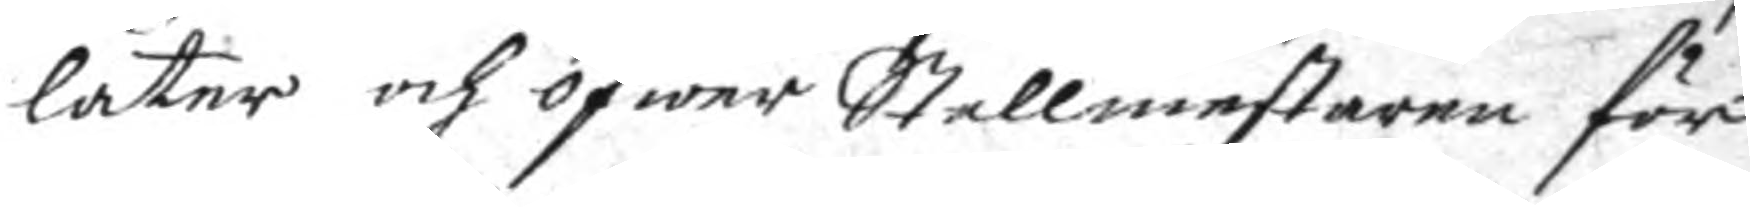låter och öfwer Stallmestaren för
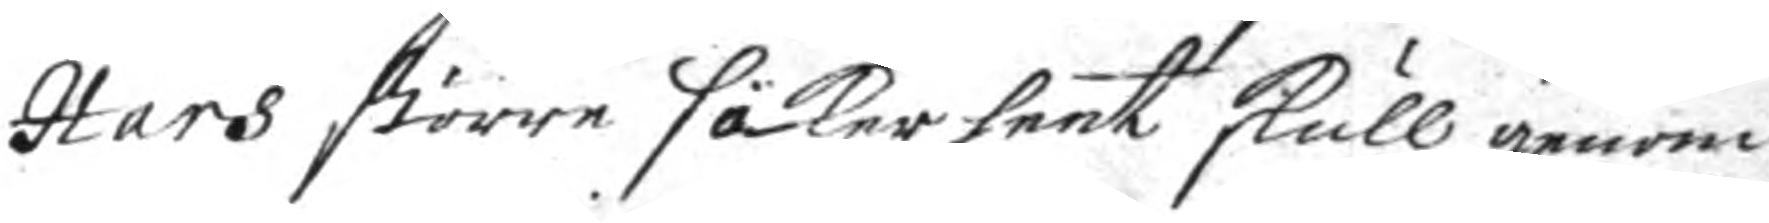Hårs större säkerheet skull genom
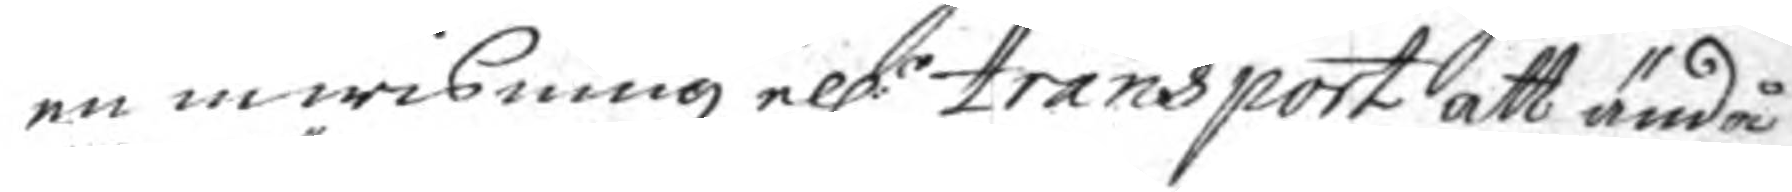en inwisning ell:r transport att ändå
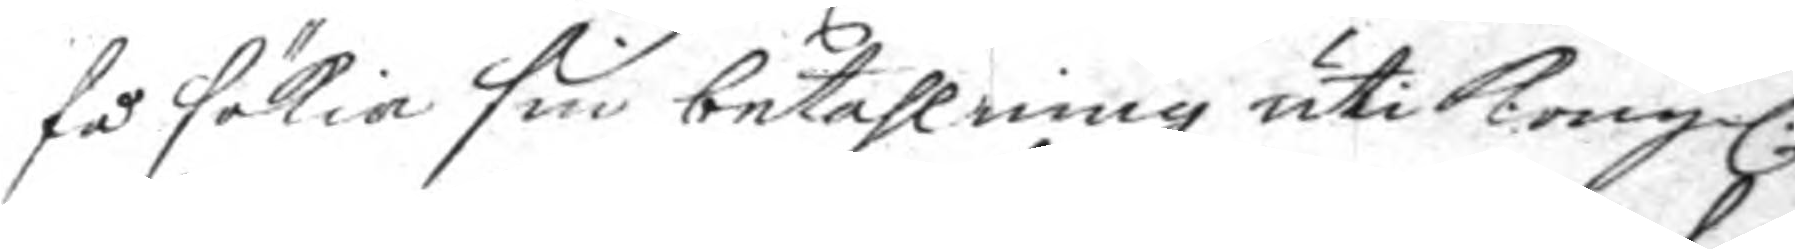få sökia sin betahlning uti Kongl:
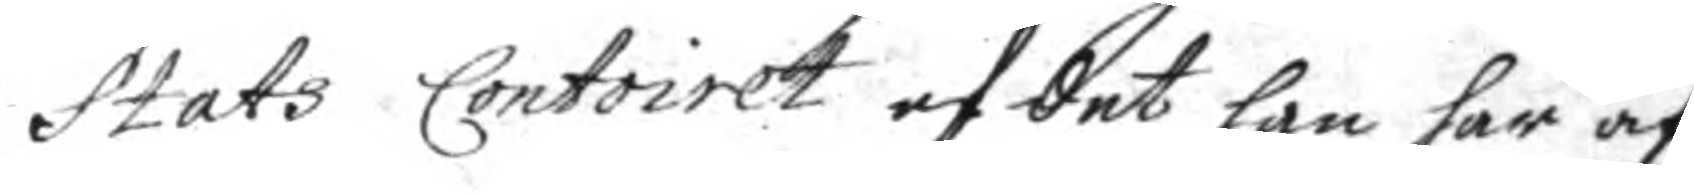Stats Contoiet af det han har af
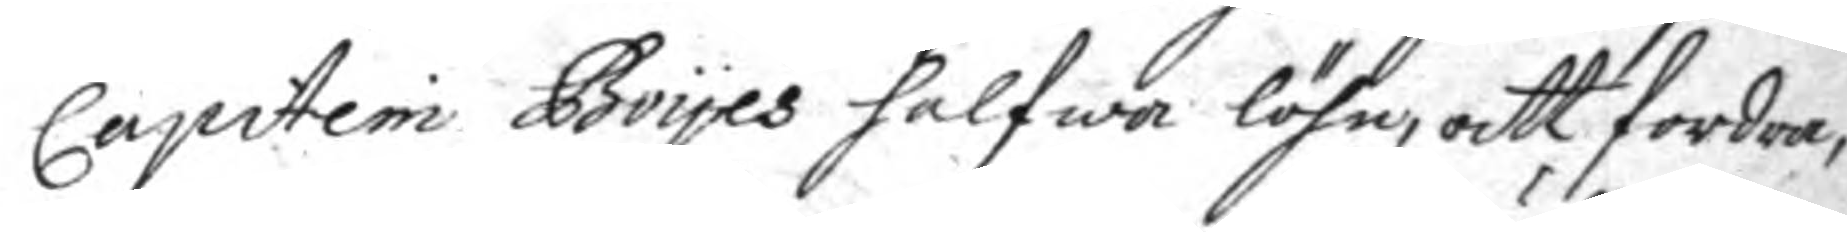Capitein Boyes halfwa löhm, att fordra,
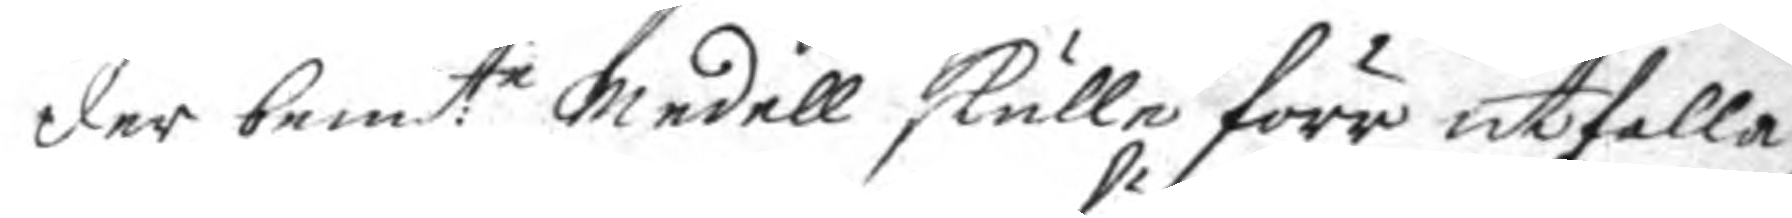der bemt.e medell skulle förr utfalla
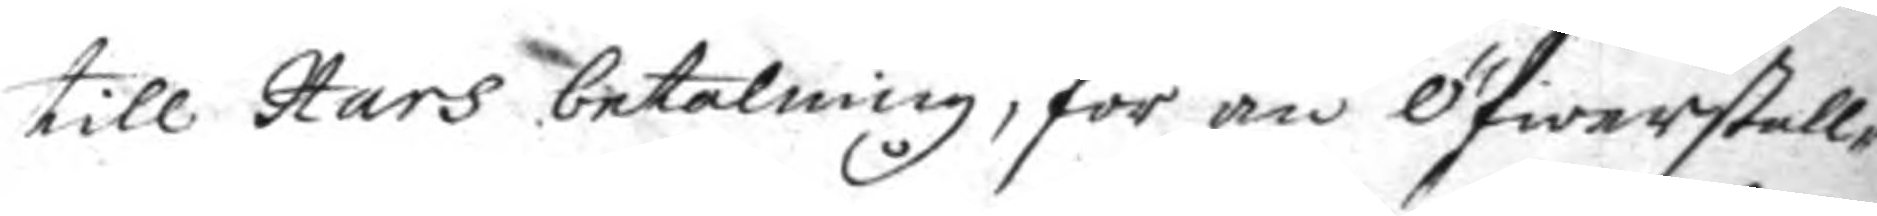till Hårs betalning, för än Öfwerstll¬
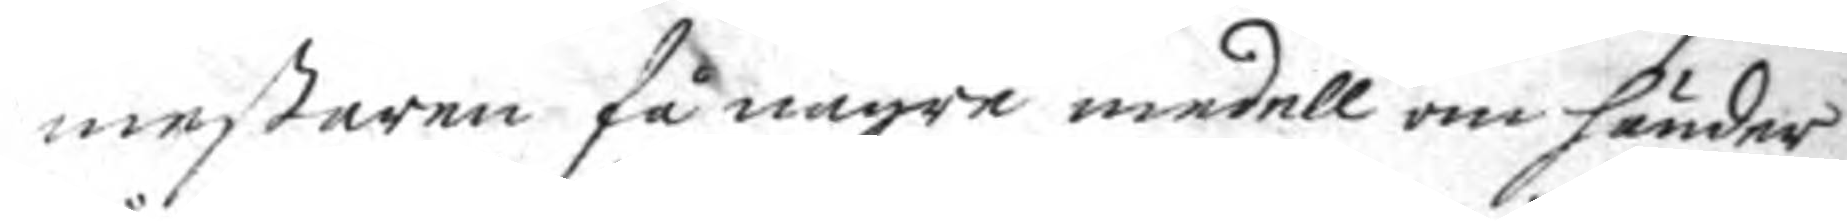mestaren få någre medell om händer
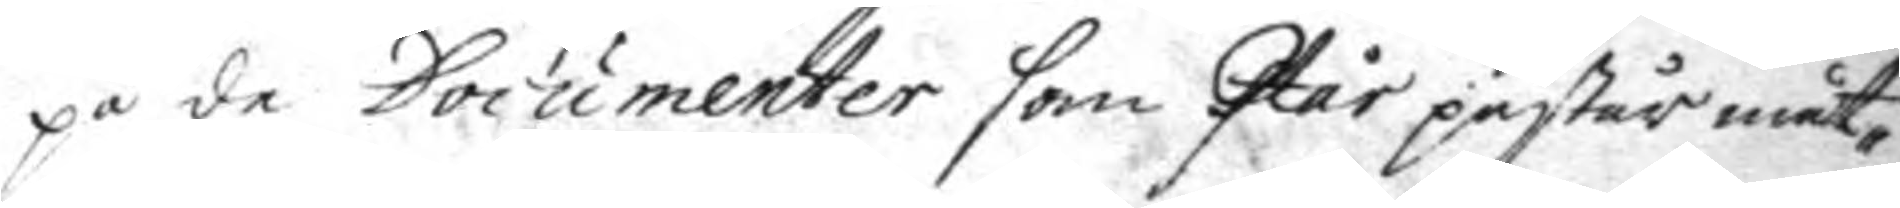på de Documenter som Hår påstår måt¬
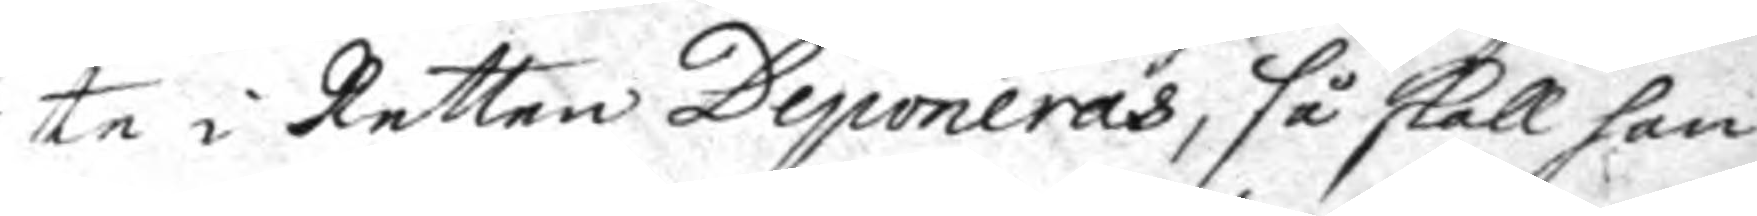te i Retten Deponeras, så skall han
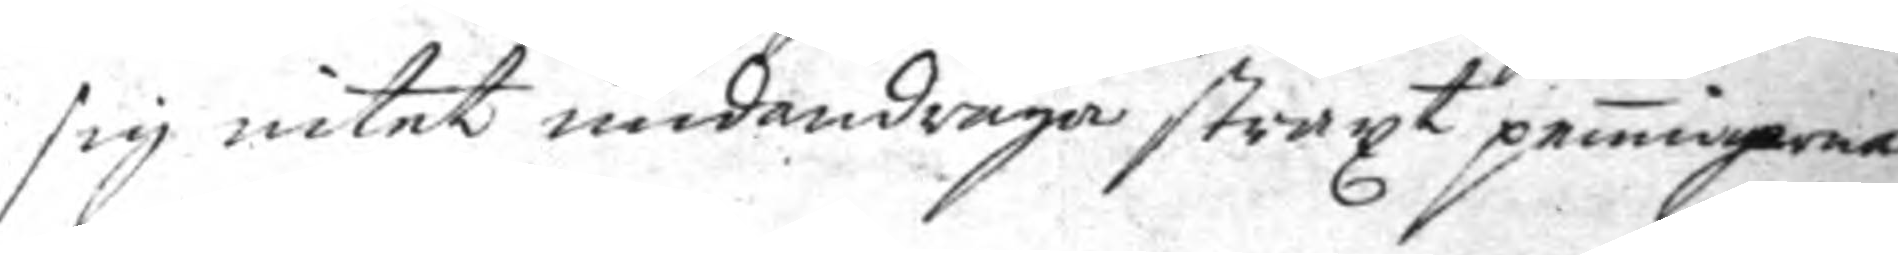sig intet undandraga straxt penningerna
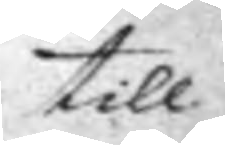till
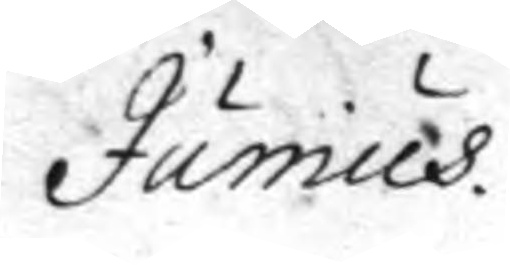Junius.
